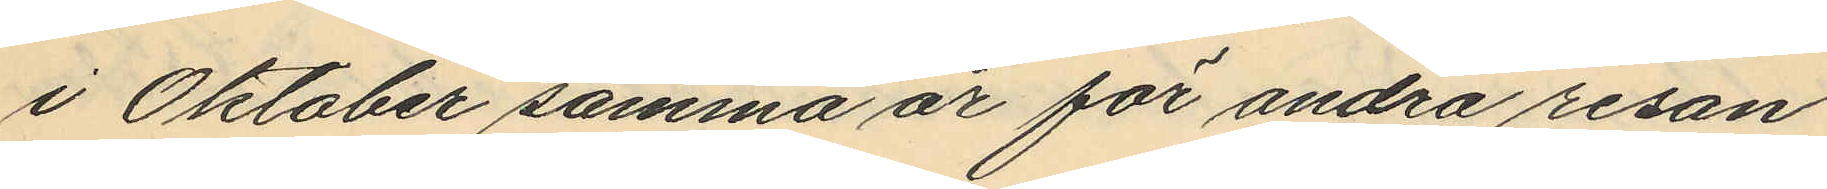i Oktober samma år för andra resan
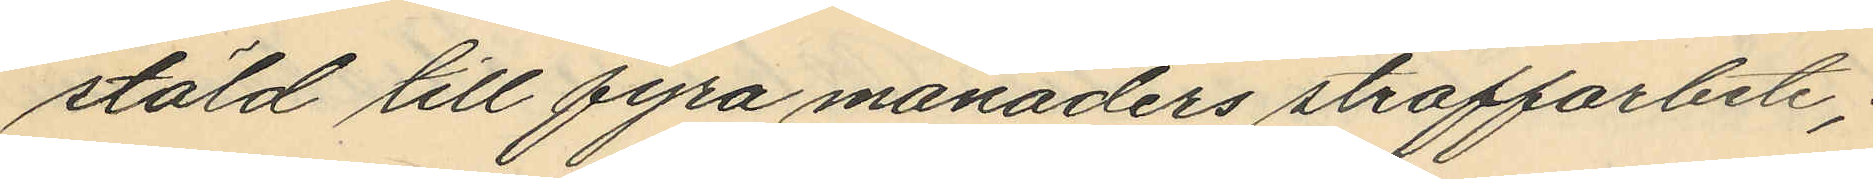stäld till fyra månaders straffarbete;
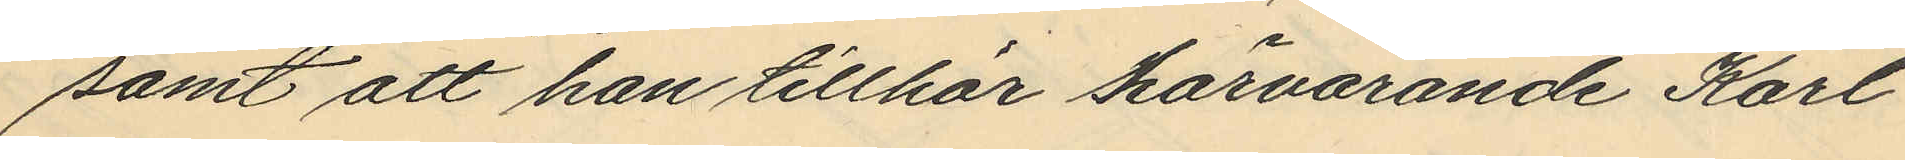samt att han tillhör härvarande Karl
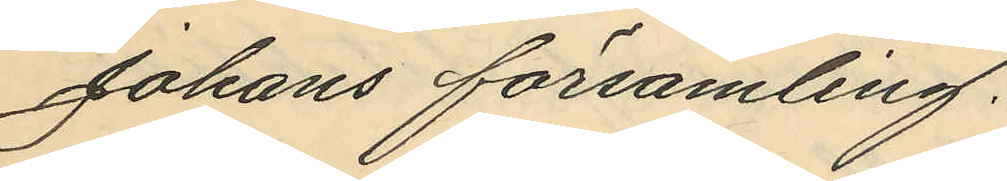Johans församling.
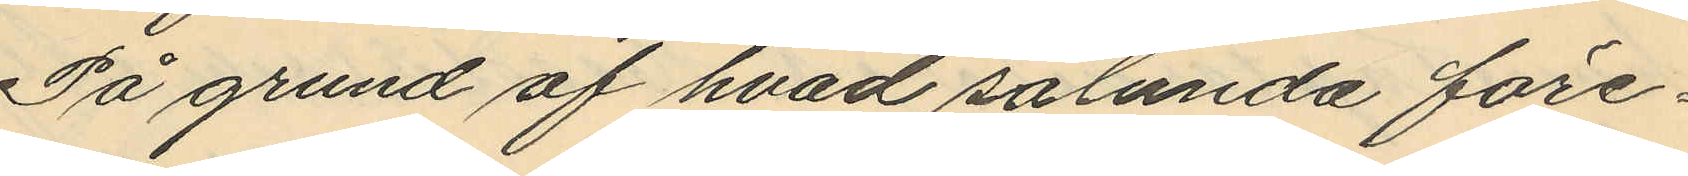På grund af hvad sålunda före¬
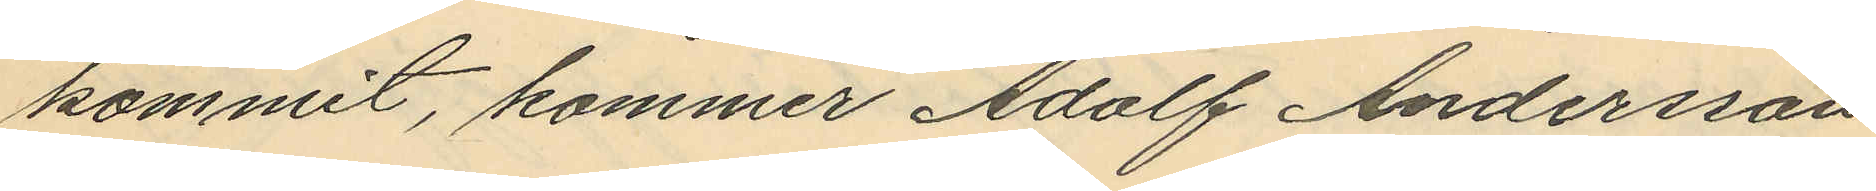kommit, kommer Adolf Andersson
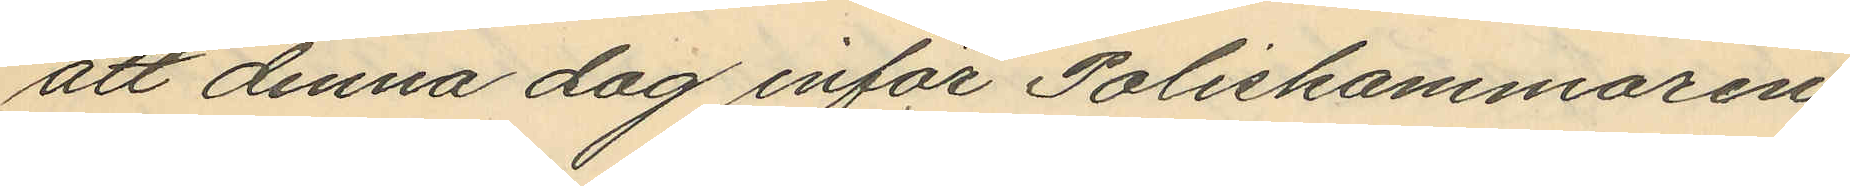att denna dag inför Poliskammaren
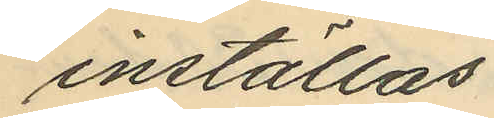inställas.
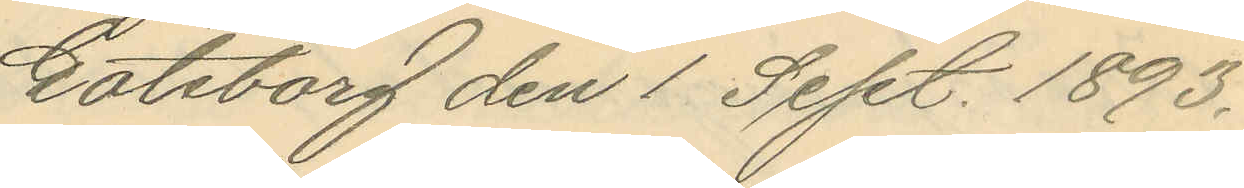Göteborg den 1 Sept. 1893.
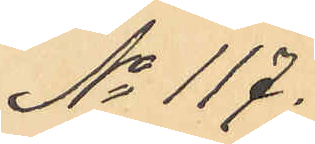No 117.
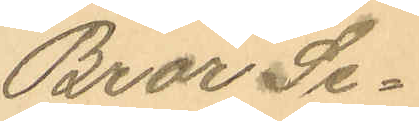Bror Se¬
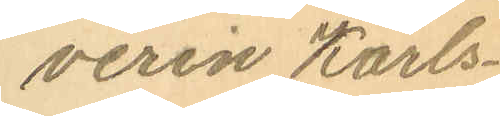verin Karls¬
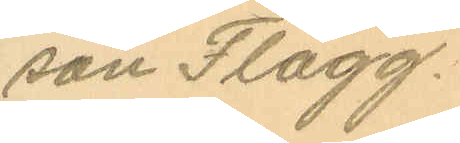son Flagg.
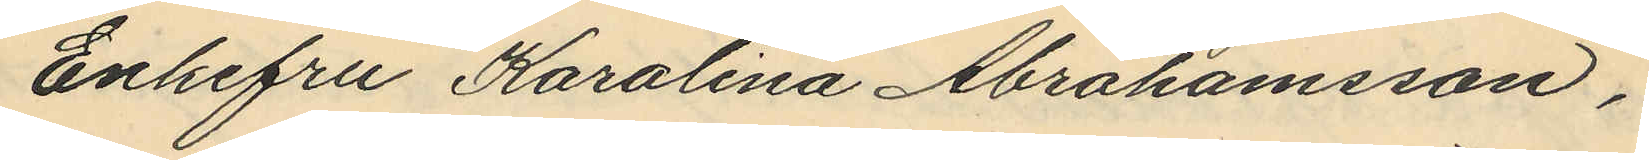Enkefru Karolina Abrahamsson,
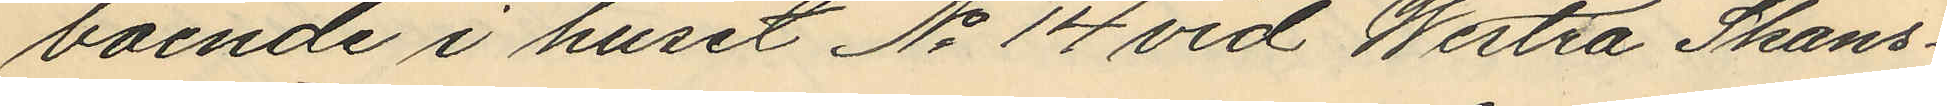boende i huset No 14 vid Westra Skans¬
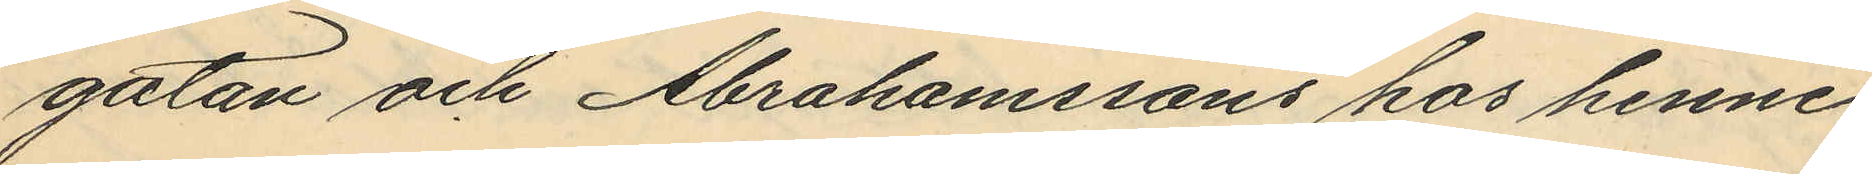gatan och Abrahamssons hos henne
